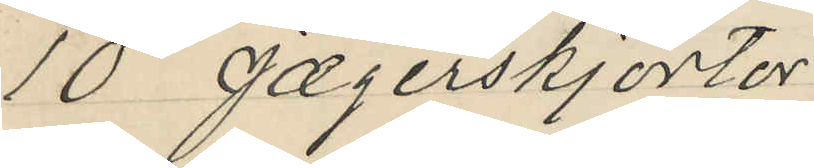10 Jægerskjortor
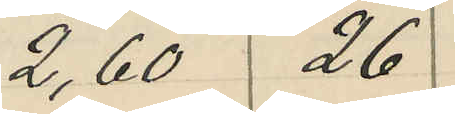2,60 26
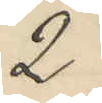2.
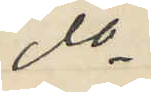do
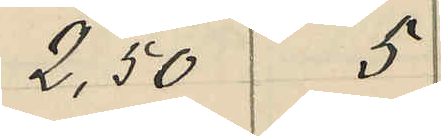2,50 5
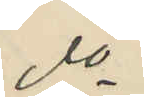do
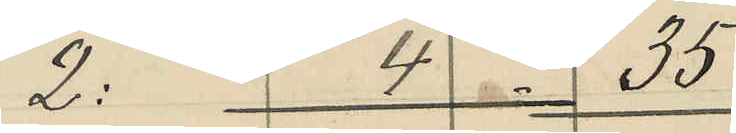2: 4 35
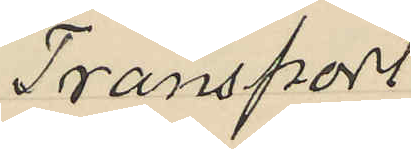Transport
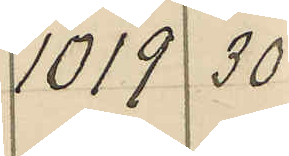1019 30
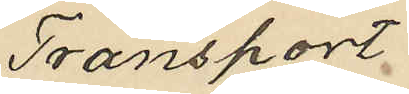Transport
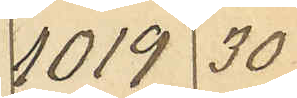1019 30
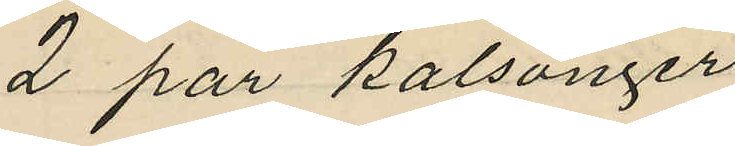2 par kalsonger
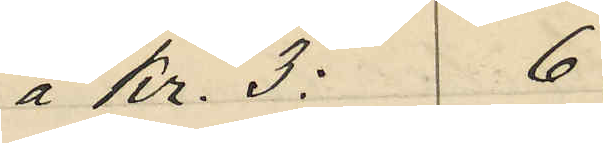a Kr. 3: 6
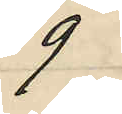9
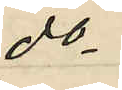do
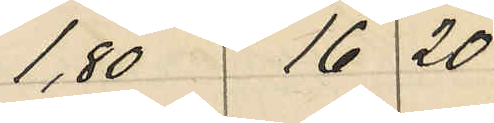1,80 16 20
